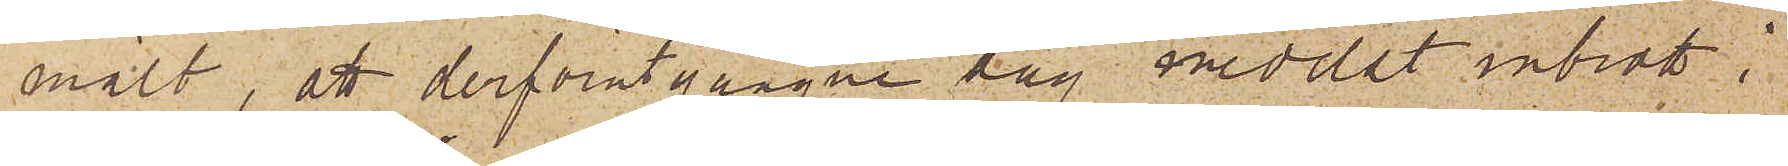mält, att derförutgångne dag medelst inbrott i
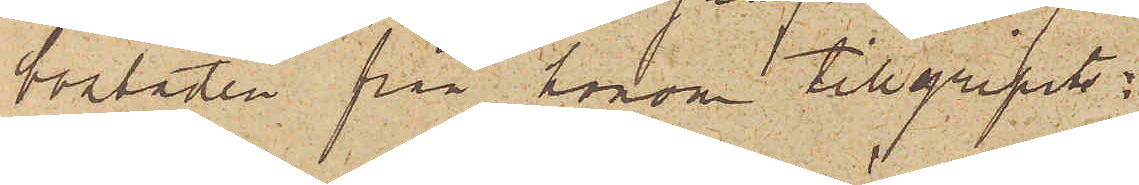bostaden från honom tillgripits:
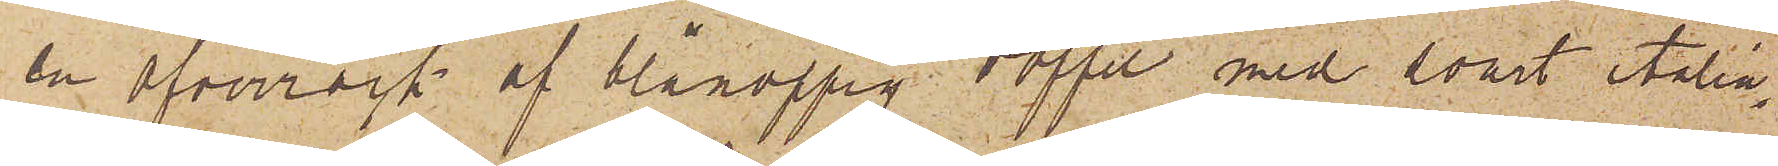en öfverrock af blånoppig doffel med svart italia¬
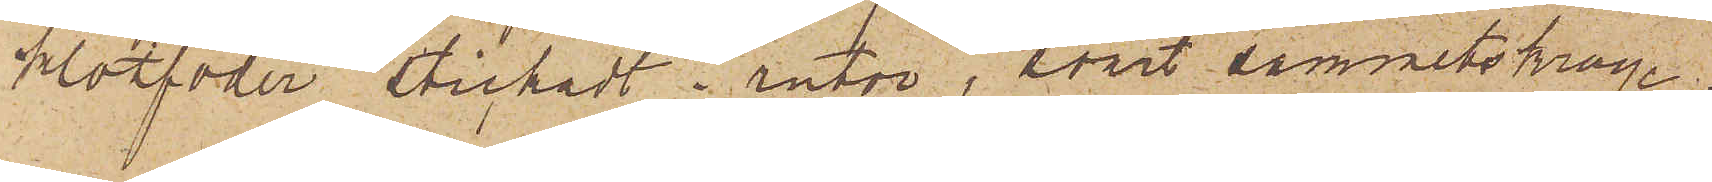klotfoder stickadt i rutor, svart sammetskrage,
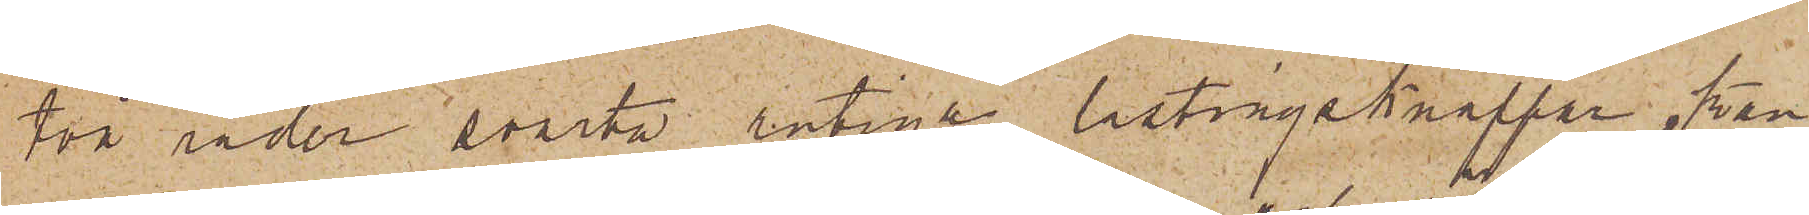två rader svarta rutiga lastingsknappar, kan¬
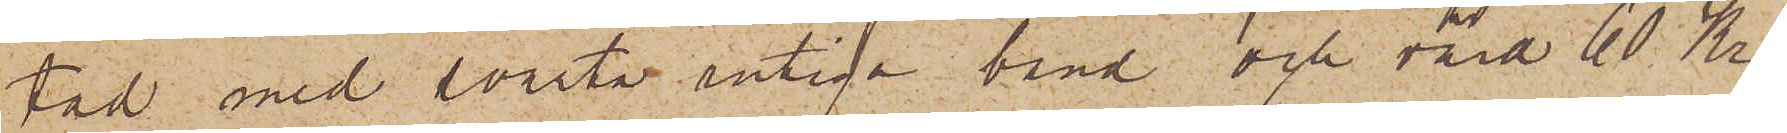tad med svarta rutiga band och värd 60 Kr;
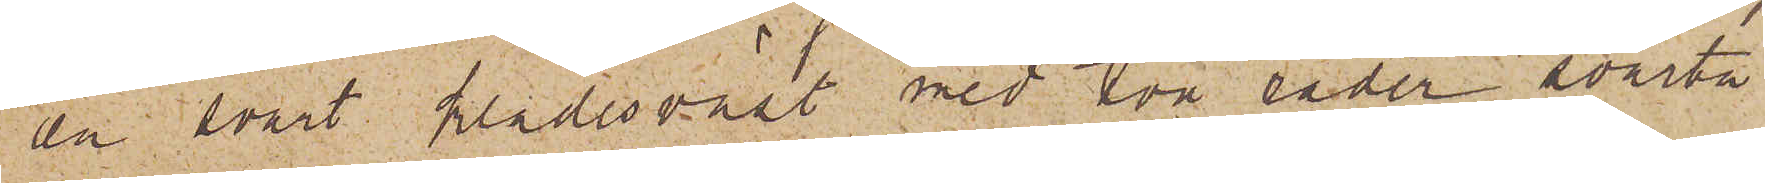en svart klädesväst med två rader svarta
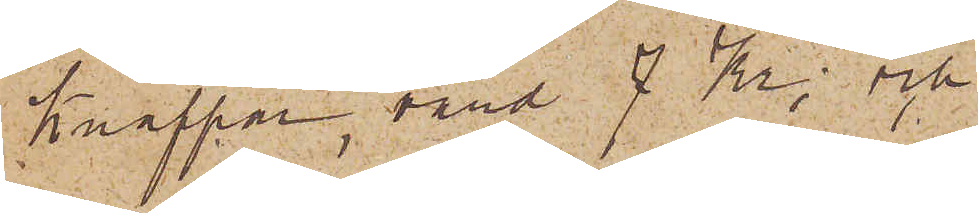knappar, värd 7 Kr; och
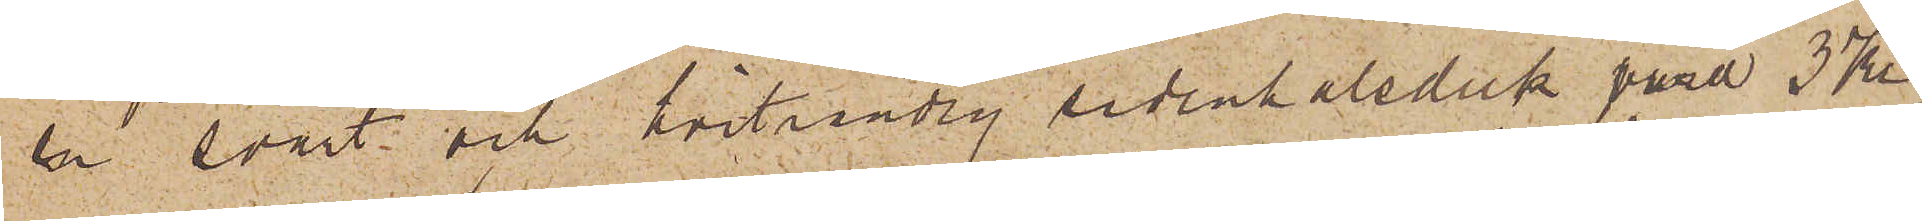en svart och hvitrandig sidenhalsduk värd 3 Kr;
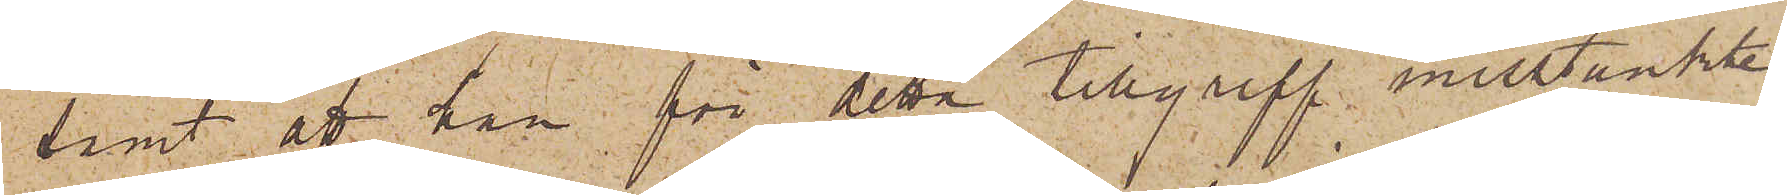samt att han för detta tillgrepp misstänkte
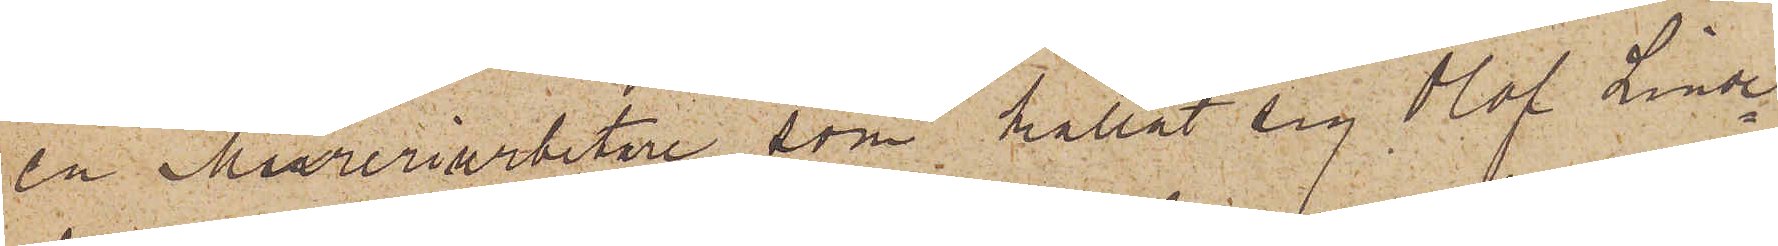en Mureriarbetare, som kallat sig Olof Linde¬
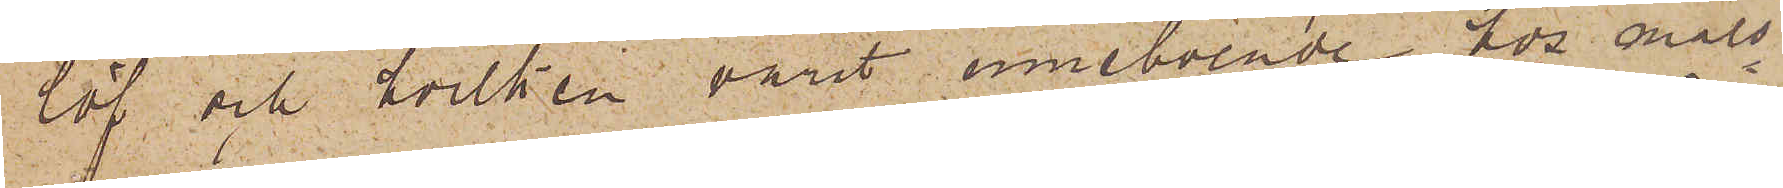löf och hvilken varit inneboende hos måls¬
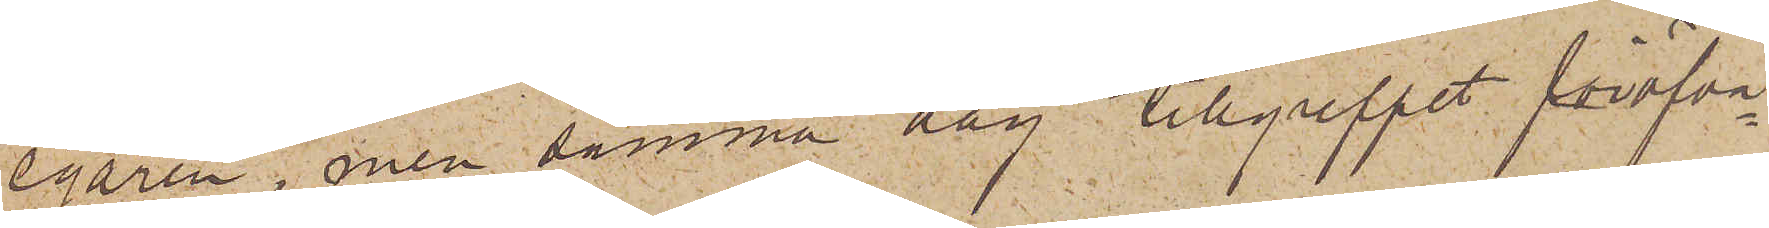egaren, men samma dag tillgreppet föröfva¬
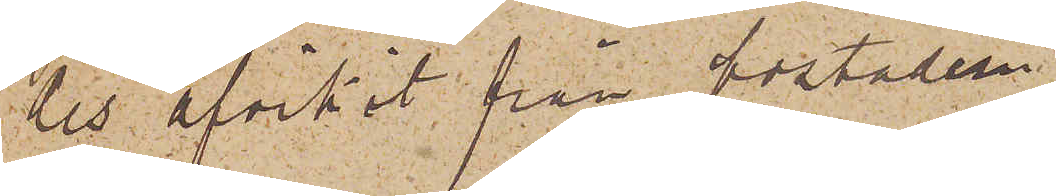des afvikit från bostaden.
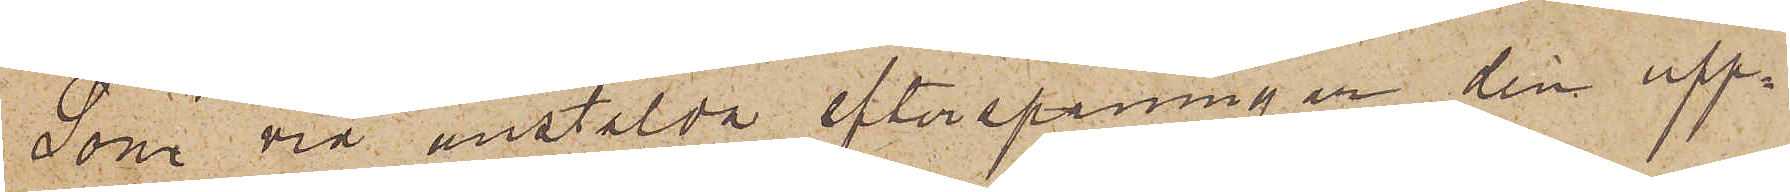Som vid anstälda efterspaningar den upp¬
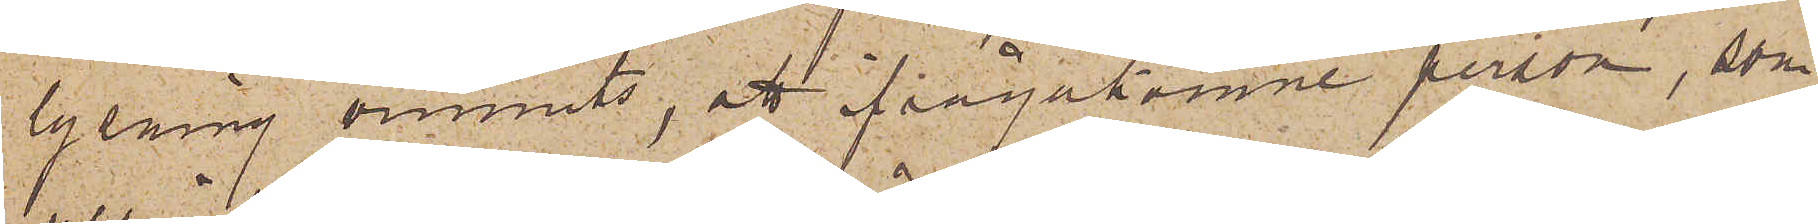lysning vunnits, att frågakomne person, som
